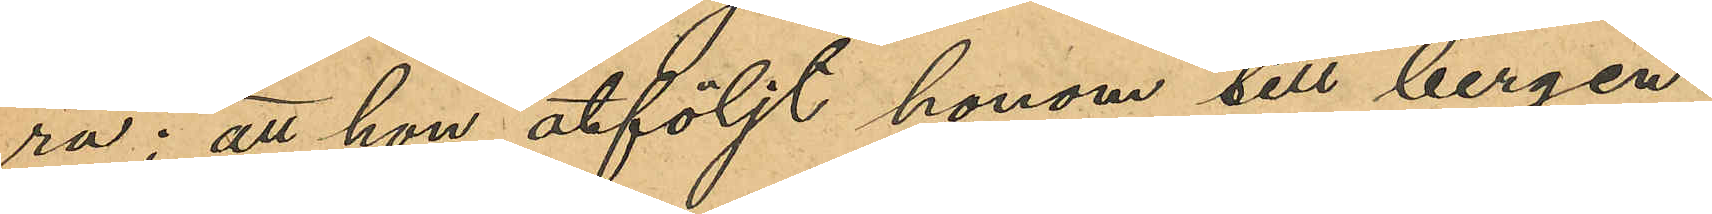ra; att hon åtföljt honom till bergen
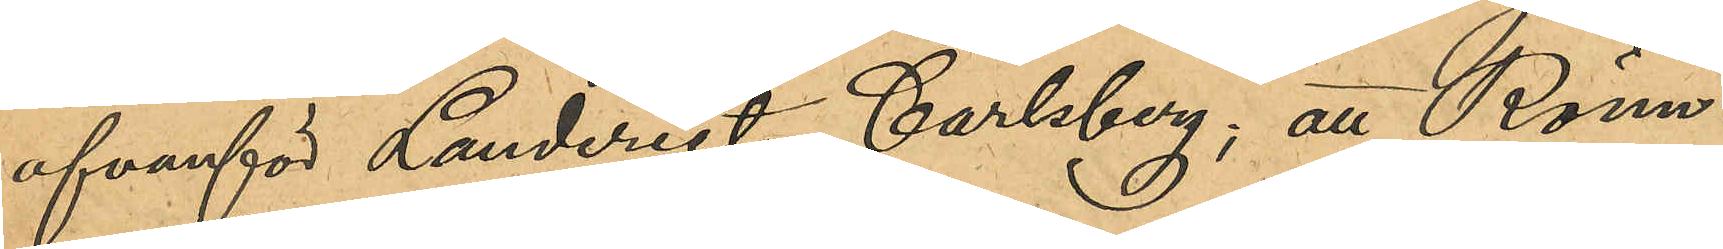ofvanför Landeriet Carlsberg; att Rönn¬
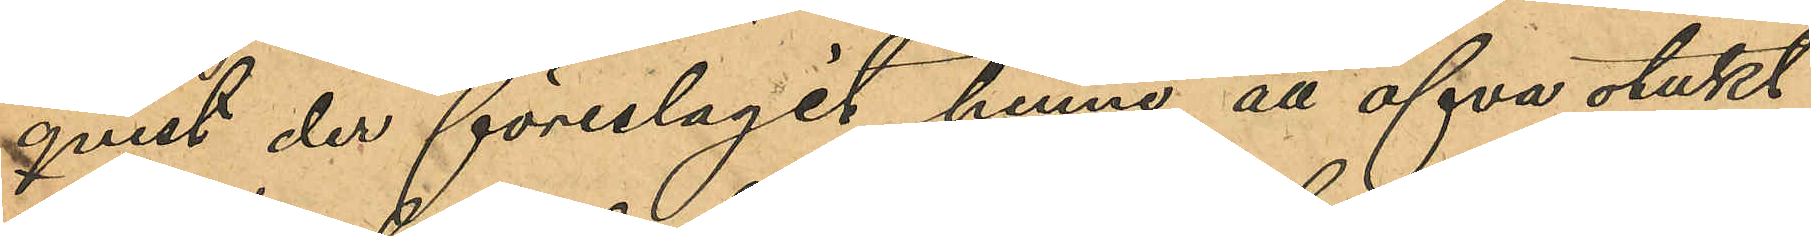qvist der föreslagit henne att öfva otukt,
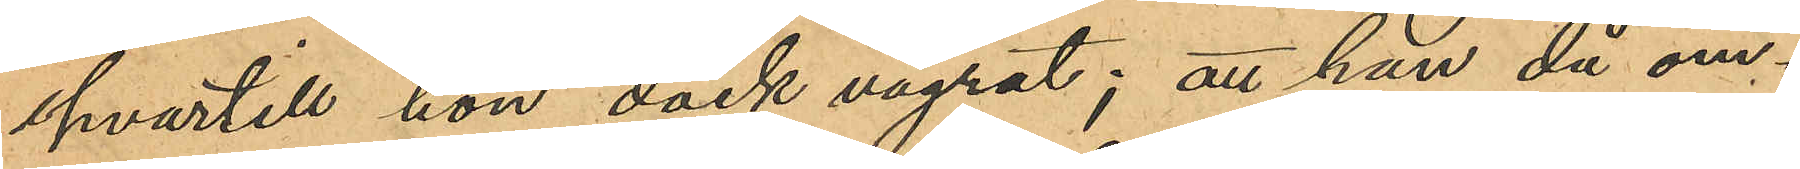hvartill hon dock vägrat; att han då om¬
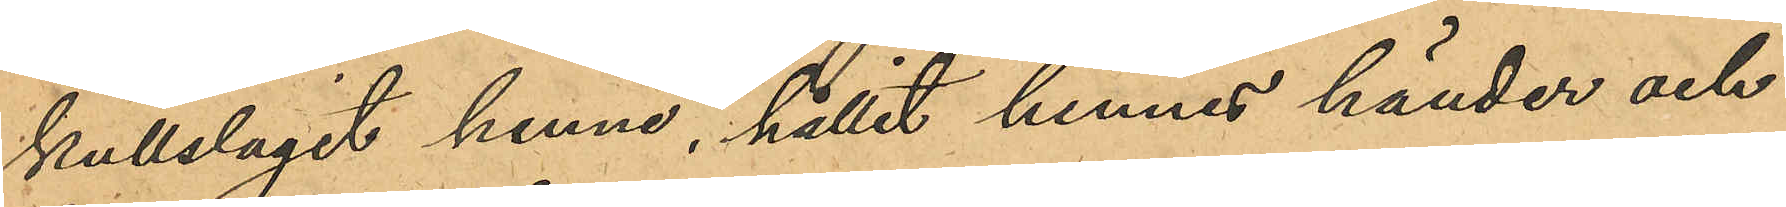kullslagit henne, hållit hennes händer och
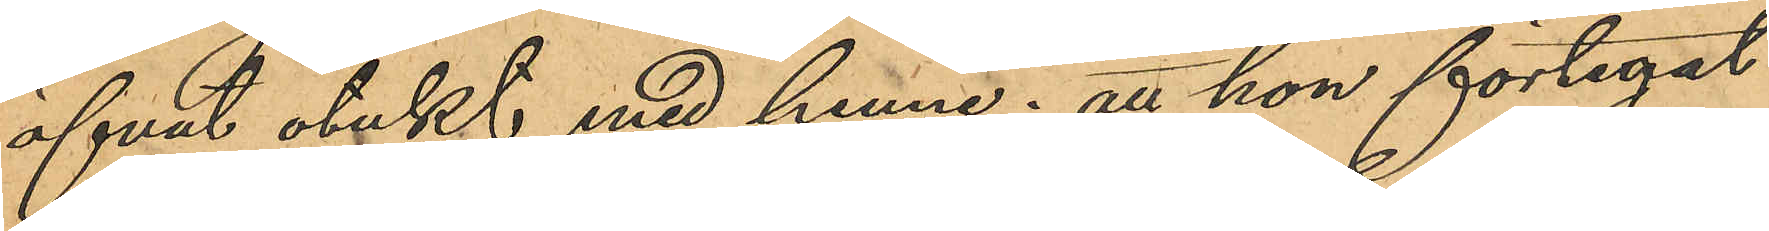öfvat otukt med henne; att hon förtegat
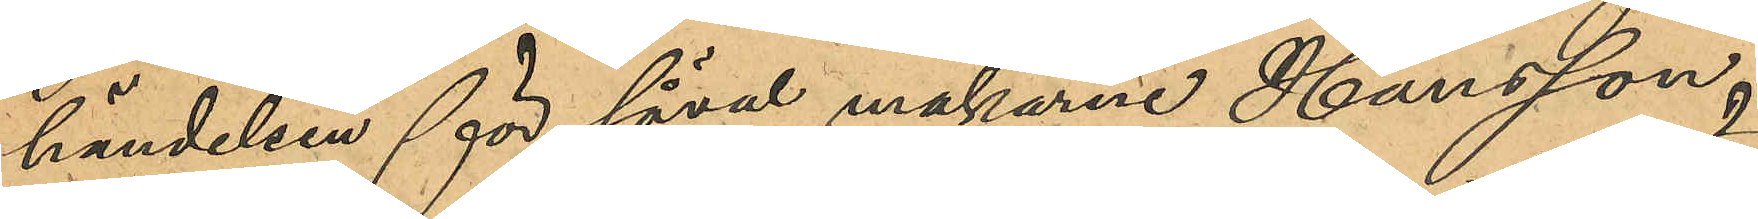händelsen för såväl makarne Hansson
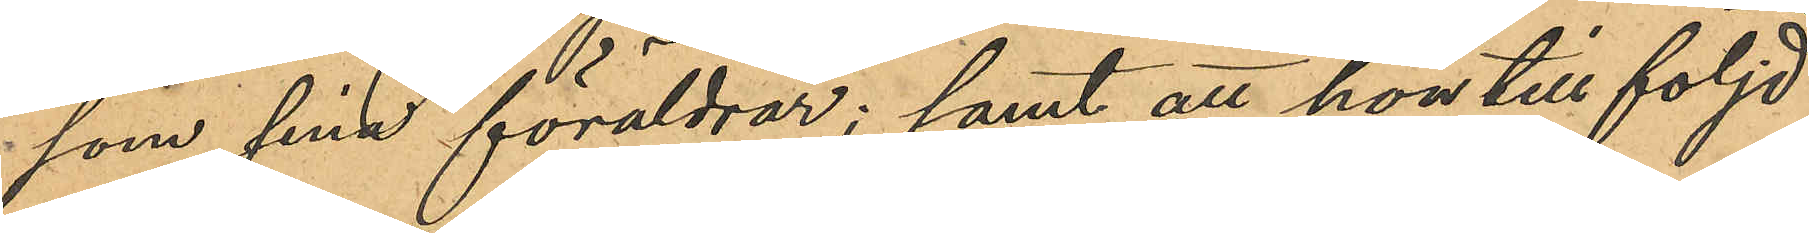som sina föräldrar; samt att hon till följd
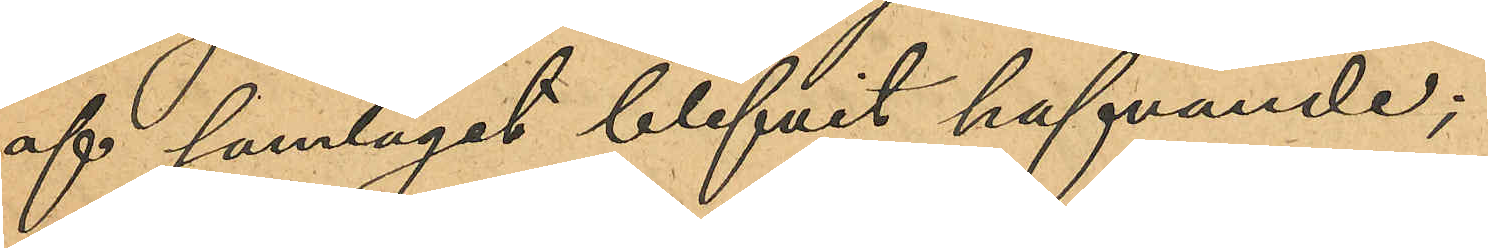af samlaget blifvit hafvande;
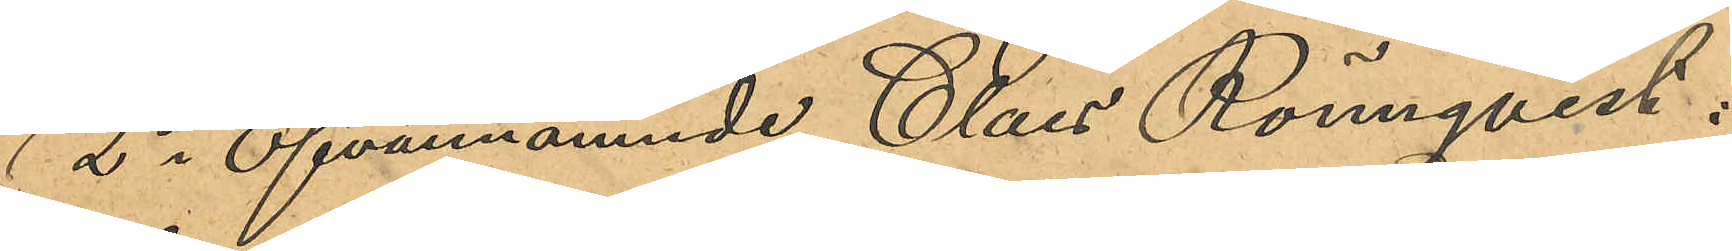2 o Ofvannämnde Claes Rönnqvist:
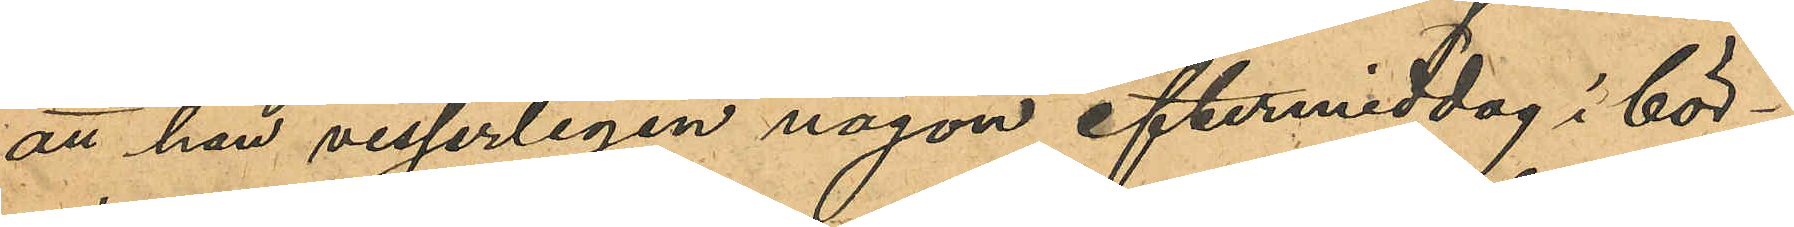att han visserligen någon eftermiddag i bör¬
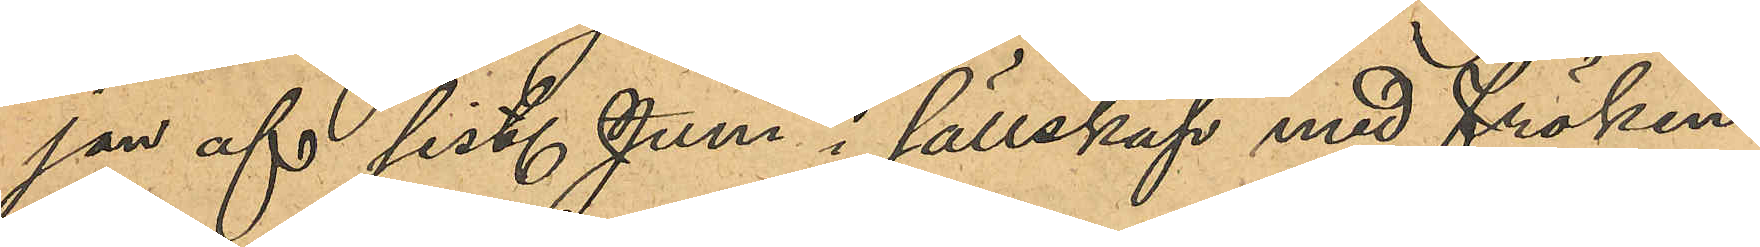jan af sist. Juni i sällskap med fröken
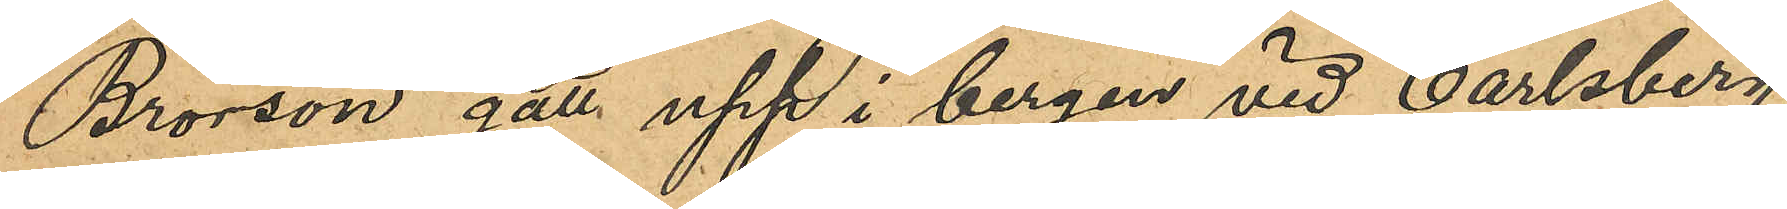Brorson gått upp i bergen vid Carlsberg,
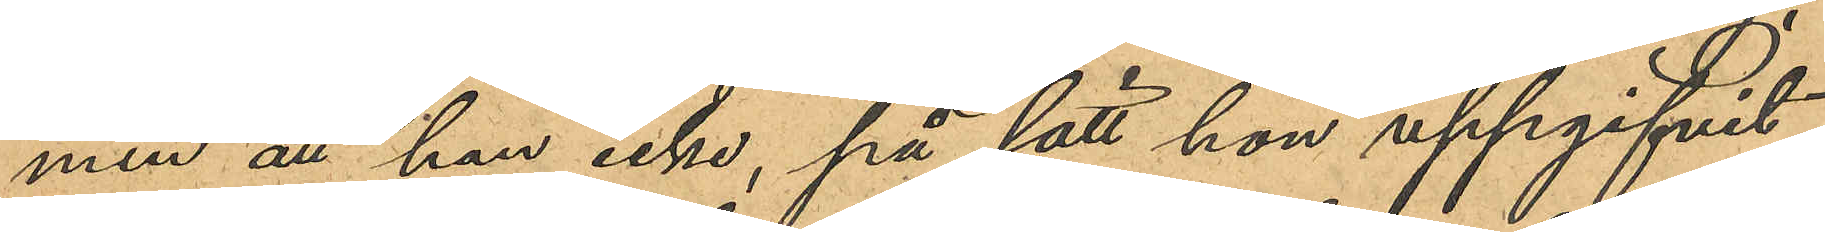men att han icke, på sätt hon uppgifvit,
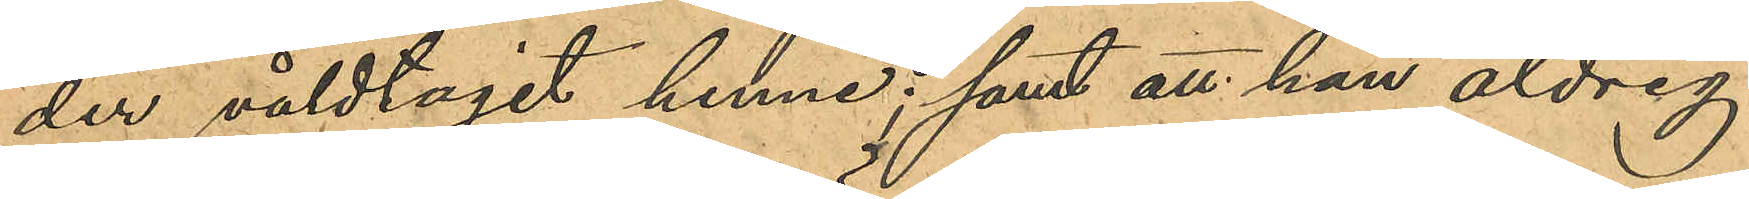der våldtagit henne; samt att han aldrig
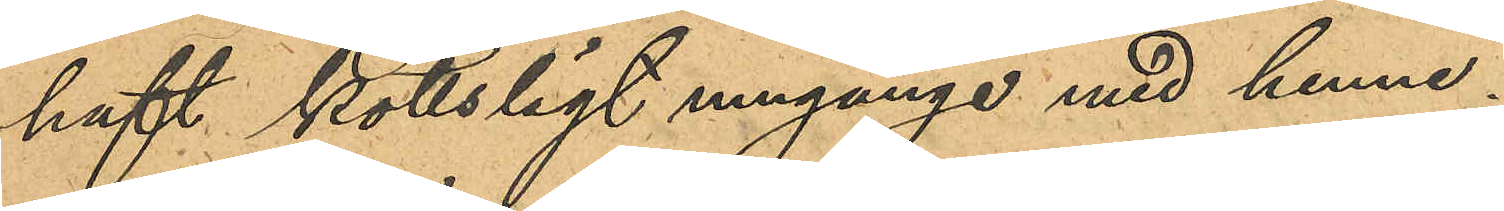haft köttsligt umgänge med henne;
